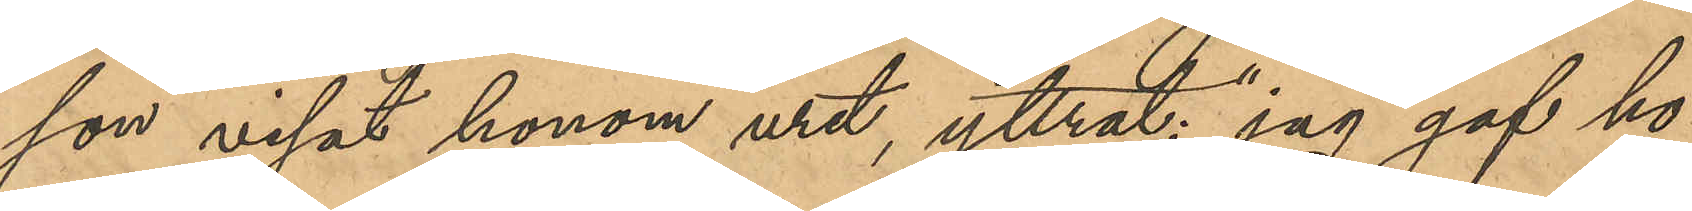son visat honom uret, yttrat: "jag gaf ho¬
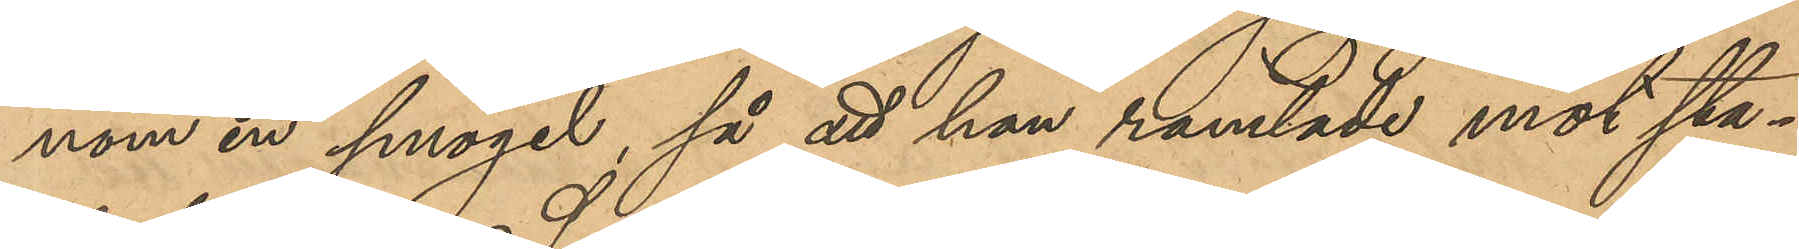nom en smögel, så att han ramlade mot sta¬
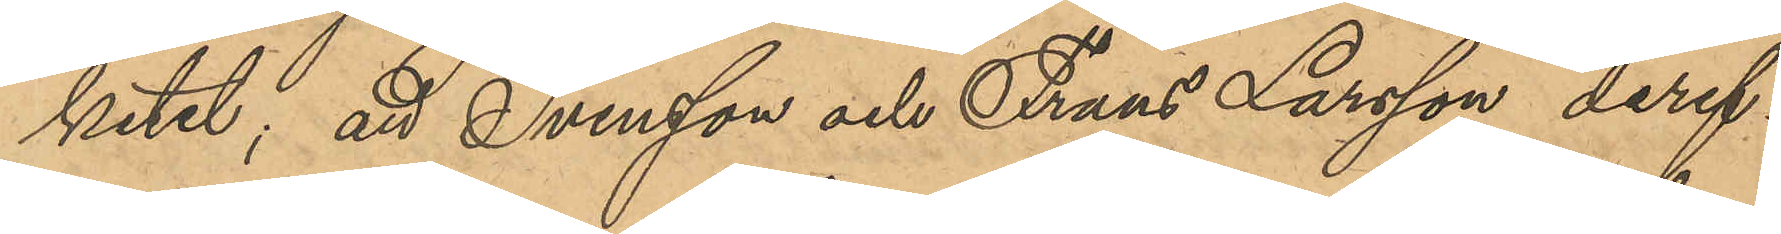ketet; att Svensson och Frans Larsson deref¬
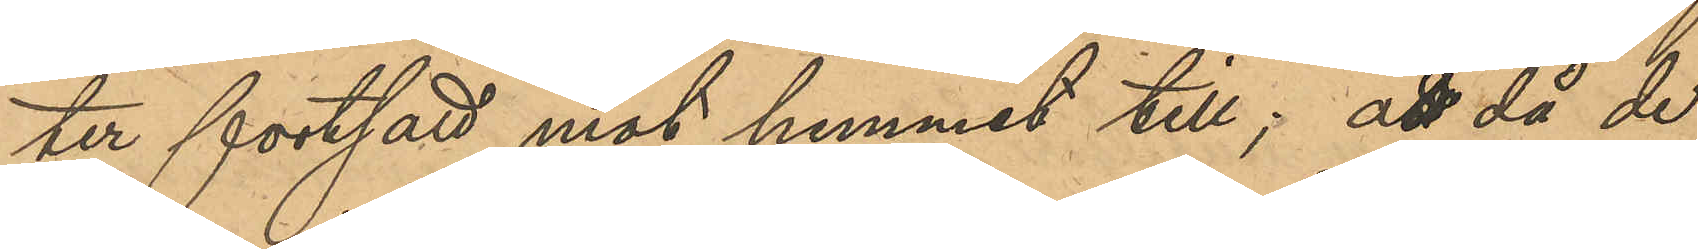ter fortsatt mot hemmet till; att då de
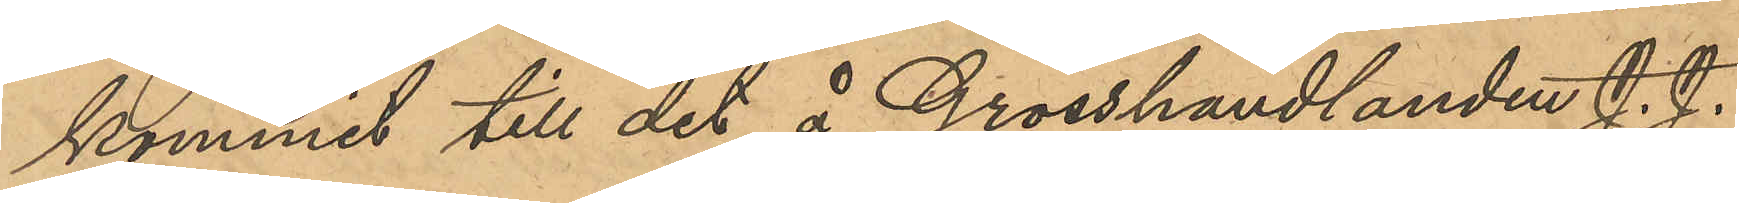kommit till det å Grosshandlanden J. J.
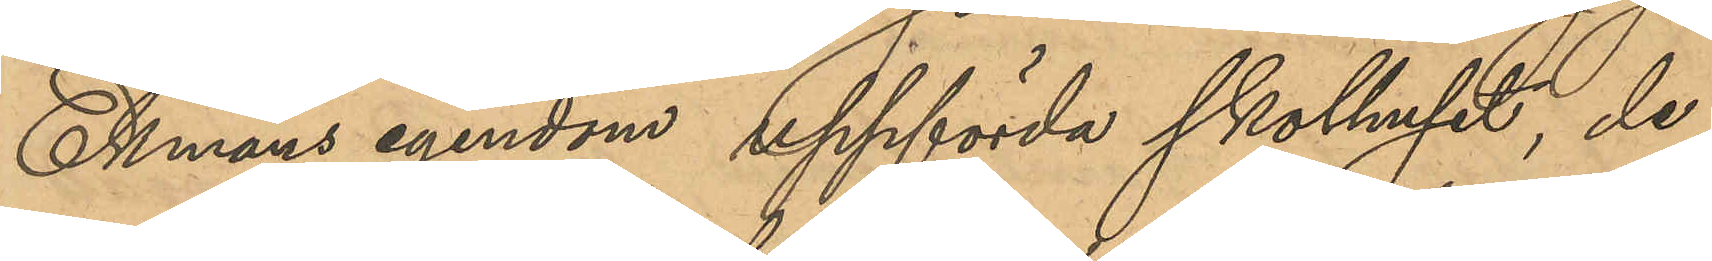Ekmans egendom uppförda skolhuset, de
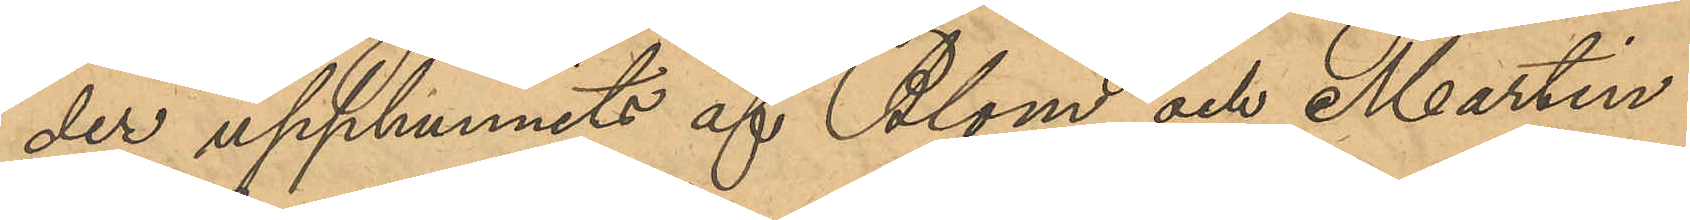der upphunnits af Blom och Martin
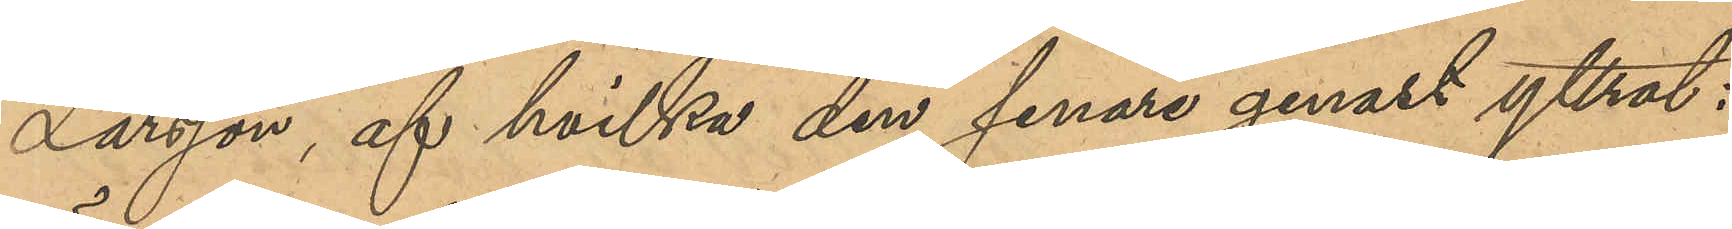Larsson af hvilka den senare genast yttrat: 
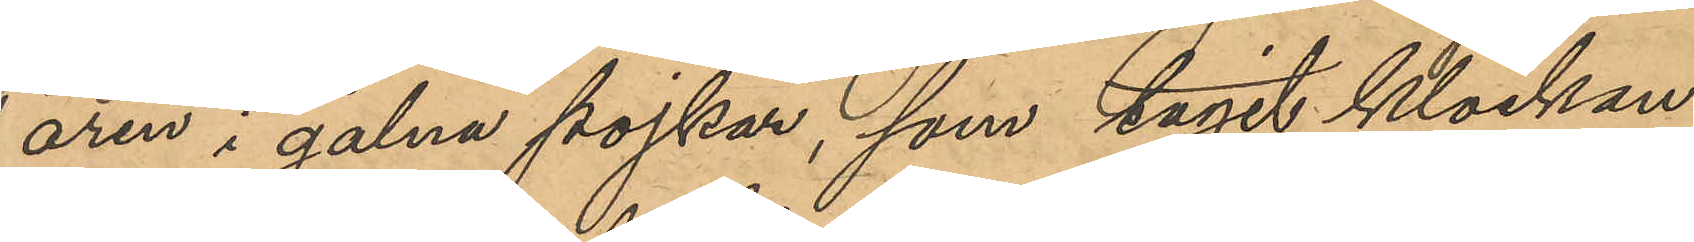"ären i galna pojkar, som tagit klockan;
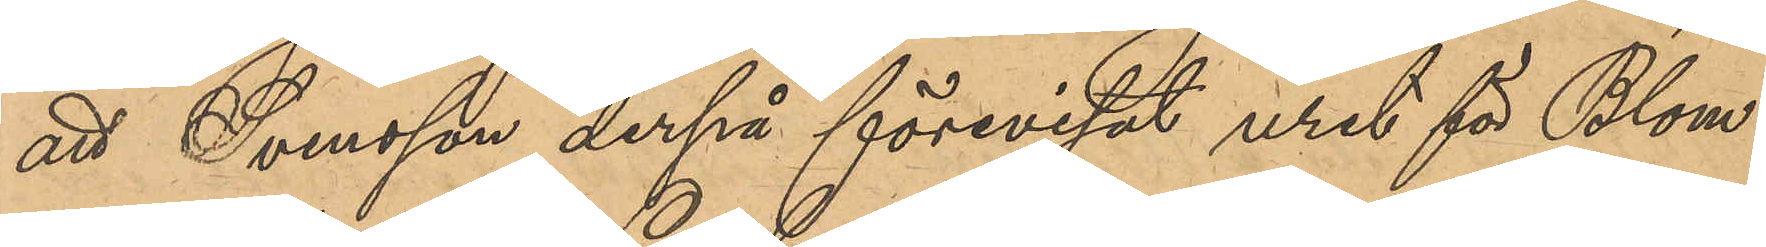att Svensson derpå förevisat uret för Blom
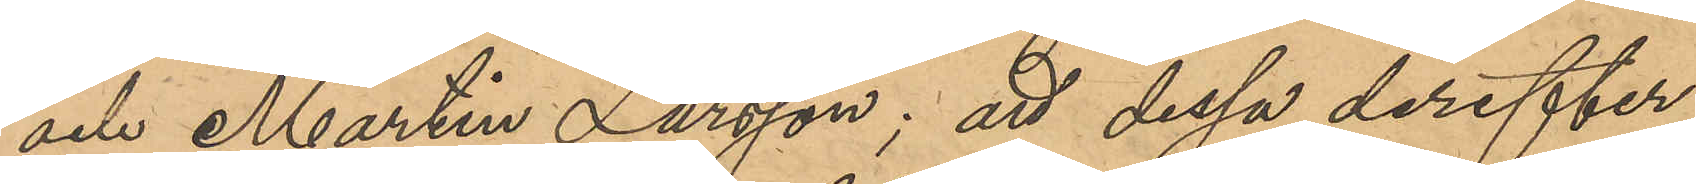och Martin Larsson; att dessa derefter
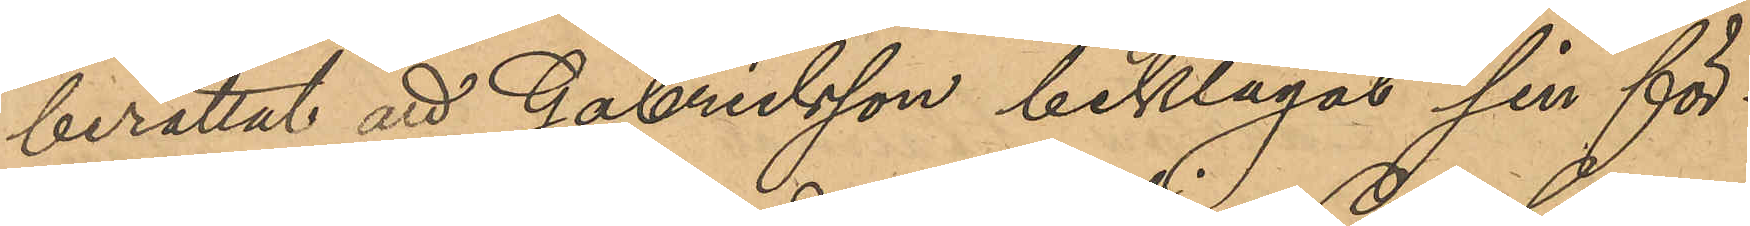berättat att Gabrielsson beklagat sin för¬
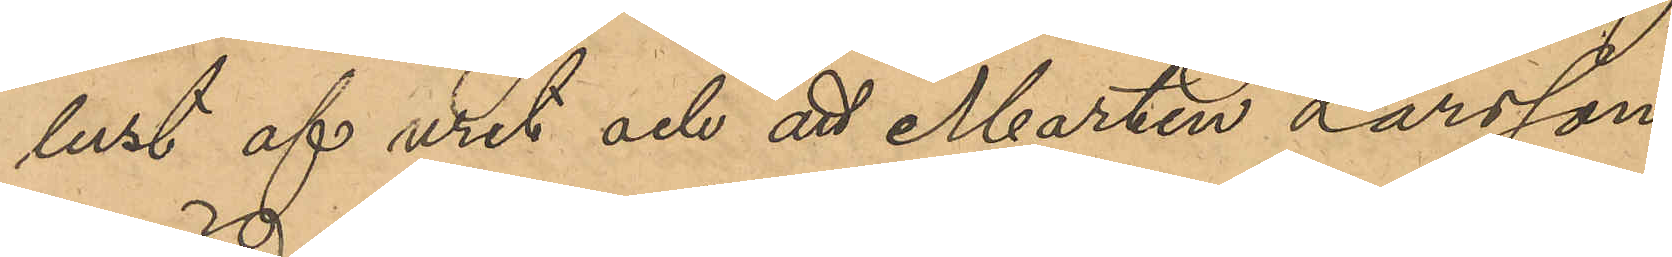lust af uret och att Martin Larsson
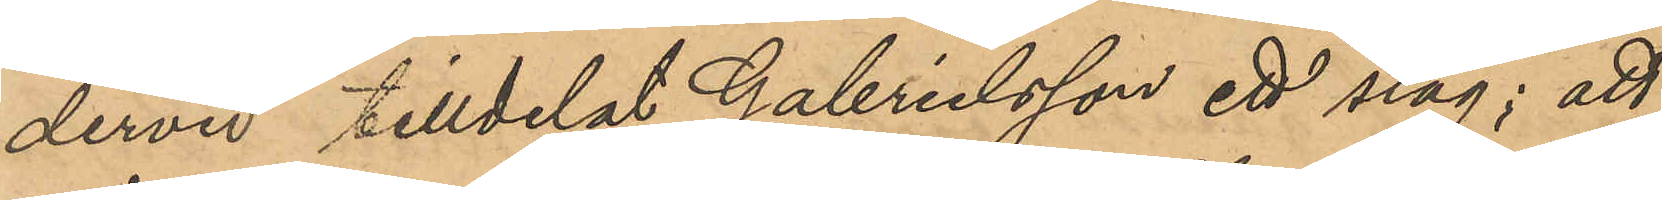dervid tilldelat Gabrielsson ett slag; att
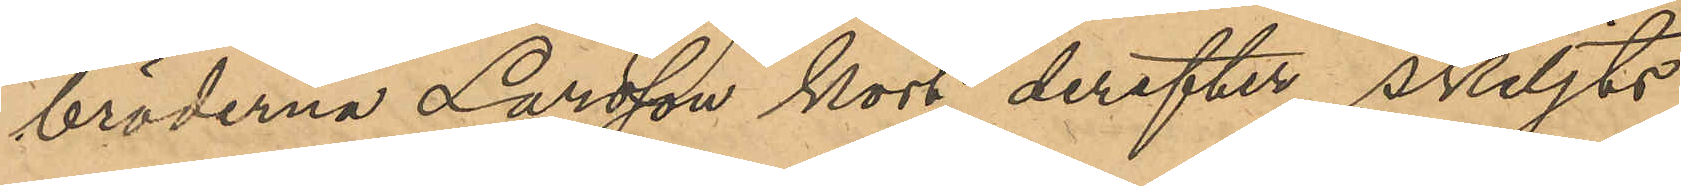bröderna Larsson kort derefter skiljts
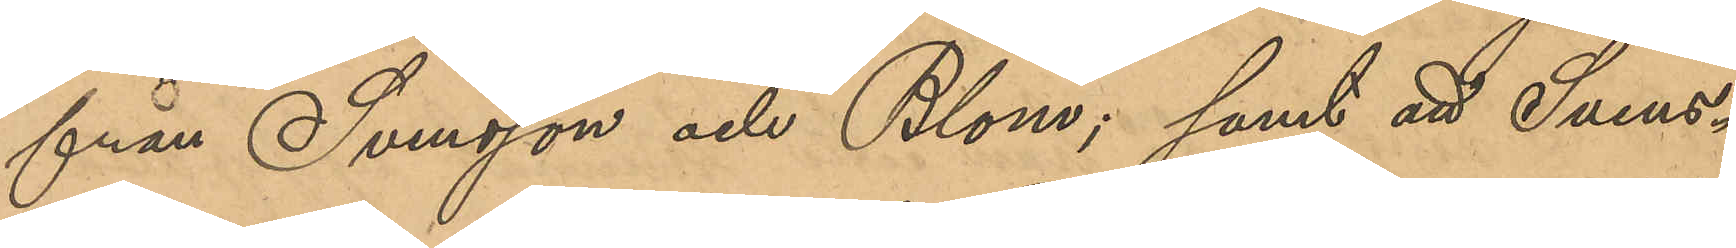från Svensson och Blom; samt att Svens¬
